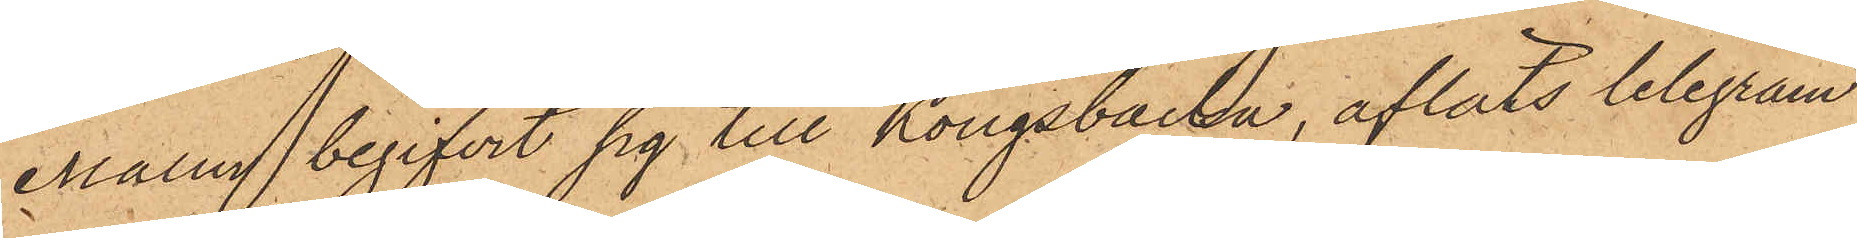Malm begifvit sig till Kongsbacka, afläts telegram
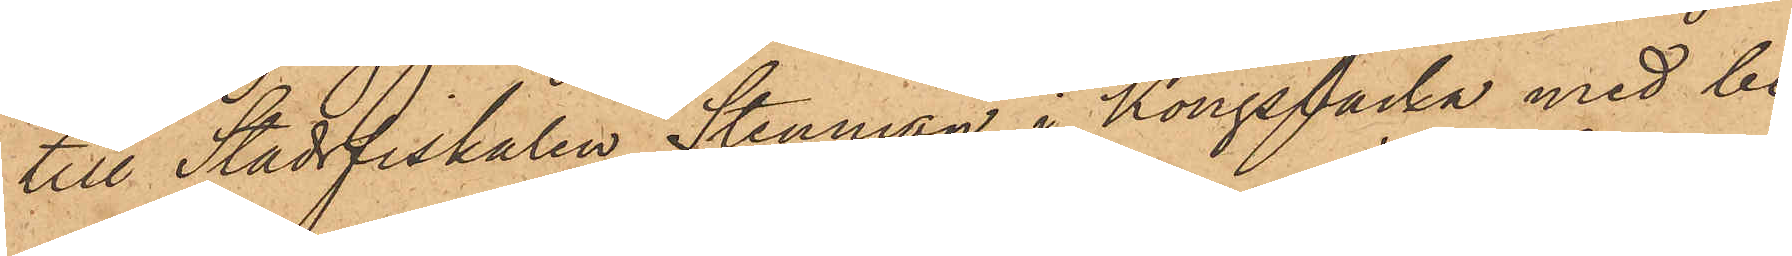till Stadsfiskalen Stenman i Kongsbacka med be¬
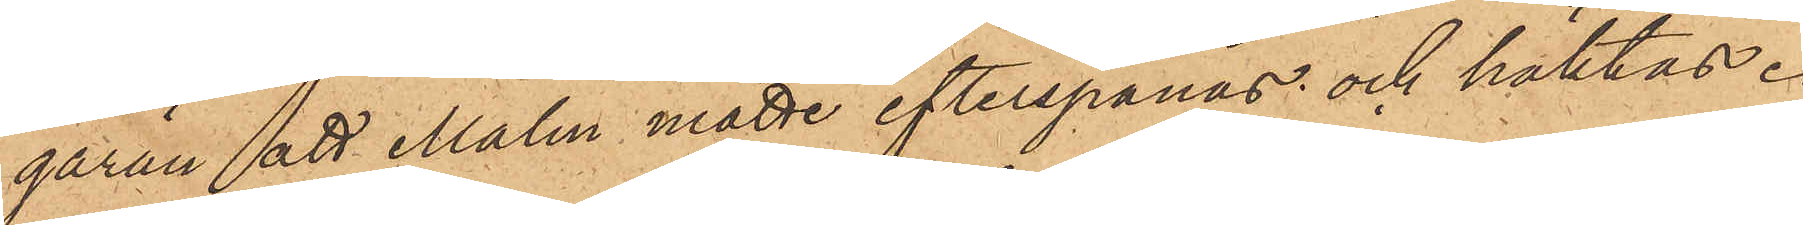gäran att Malm måtte efterspanas och häktas.
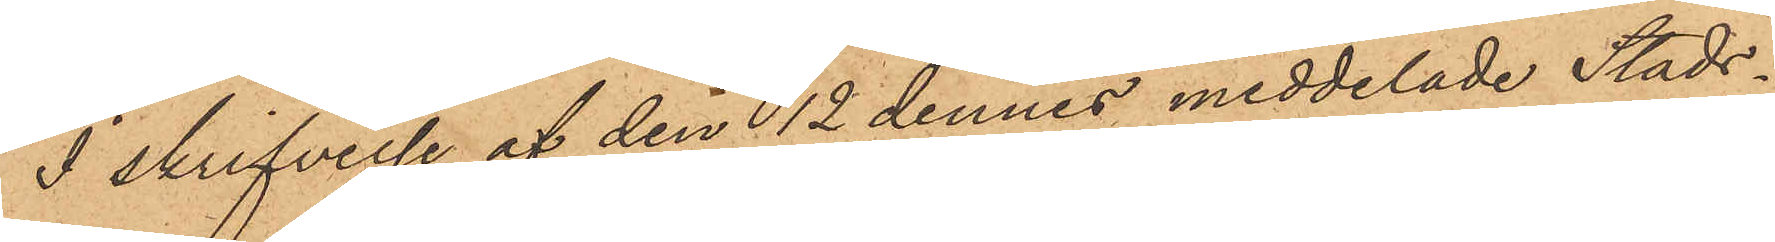I skrifvelse af den 12 dennes meddelade Stads¬
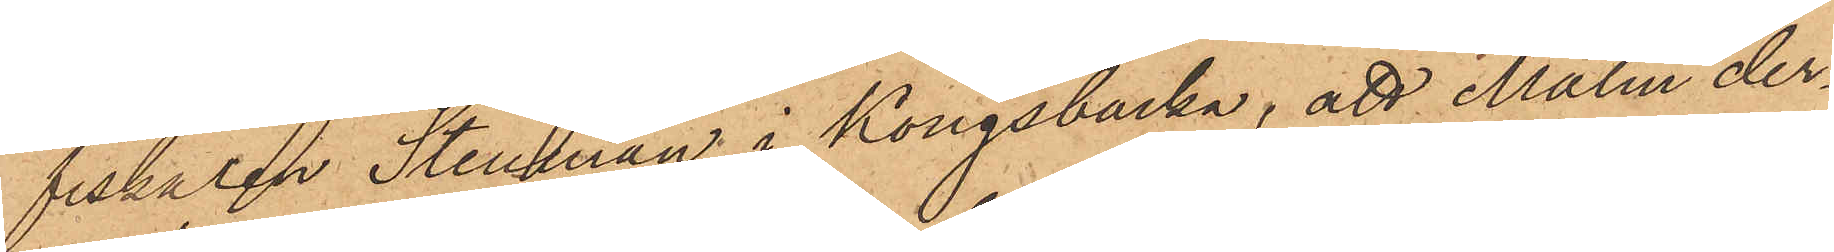fiskalen Stenman i Kongsbacka, att Malm der¬
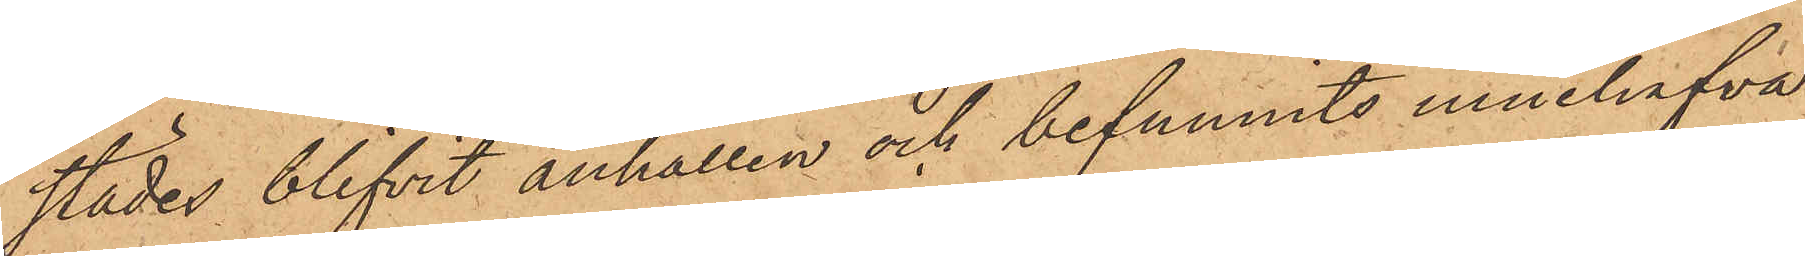städes blifvit anhållen och befunnits innehafva
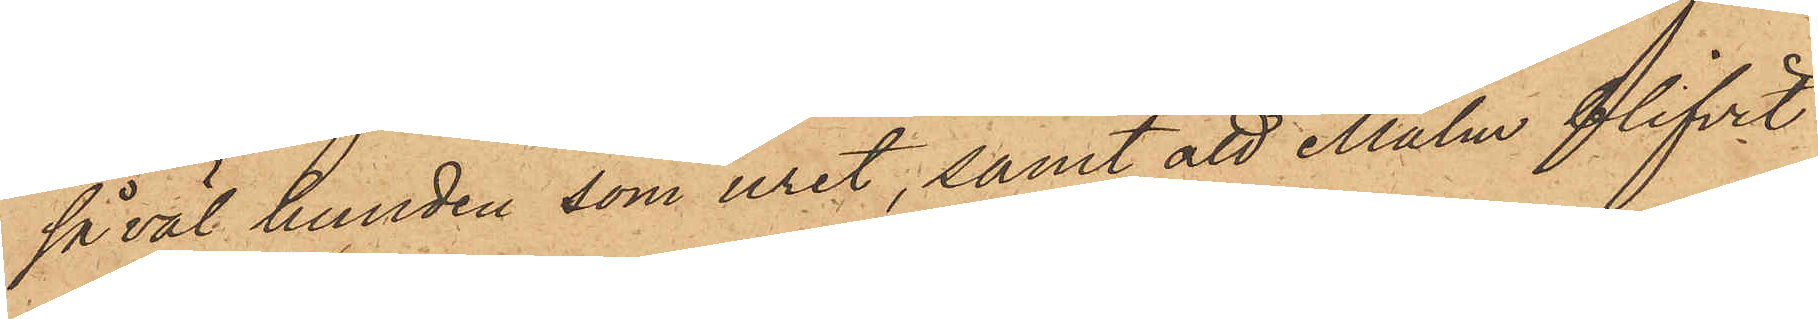såväl hunden som uret, samt att Malm blifvit
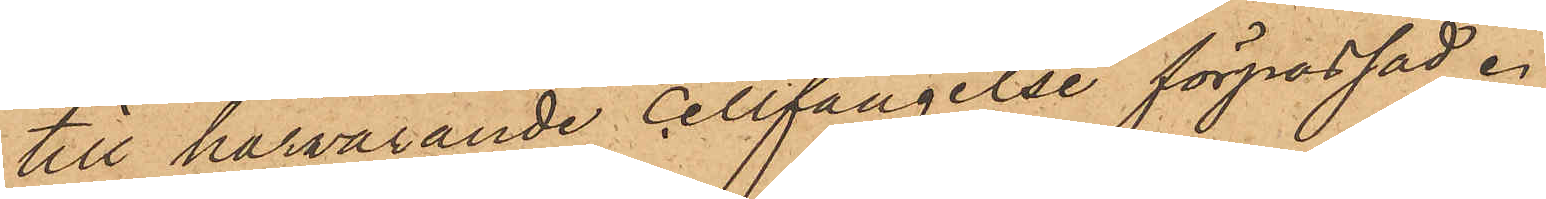till härvarande cellfängelse förpassad.
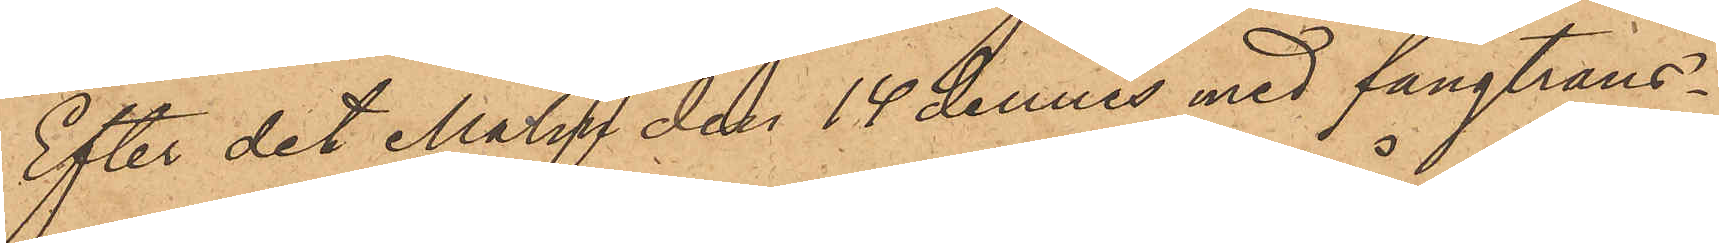Efter det Malm den 14 dennes med fångtrans¬
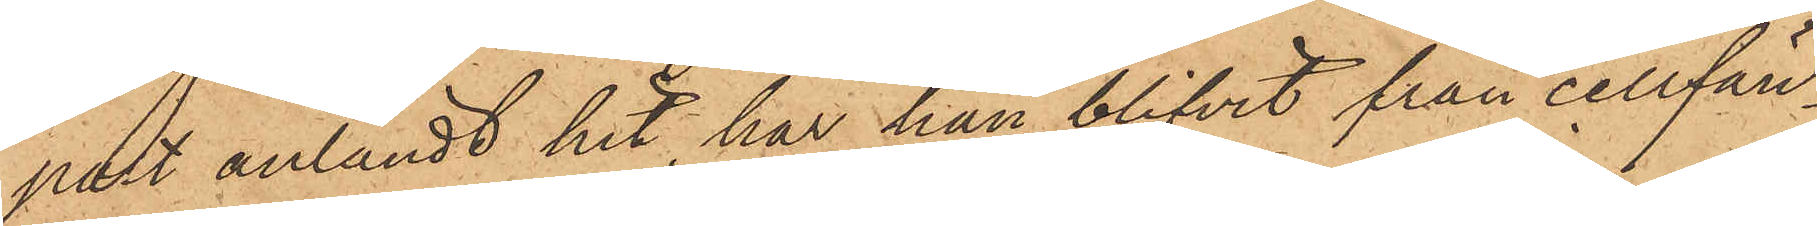port anländt hit, har han blifvit från cellfän¬
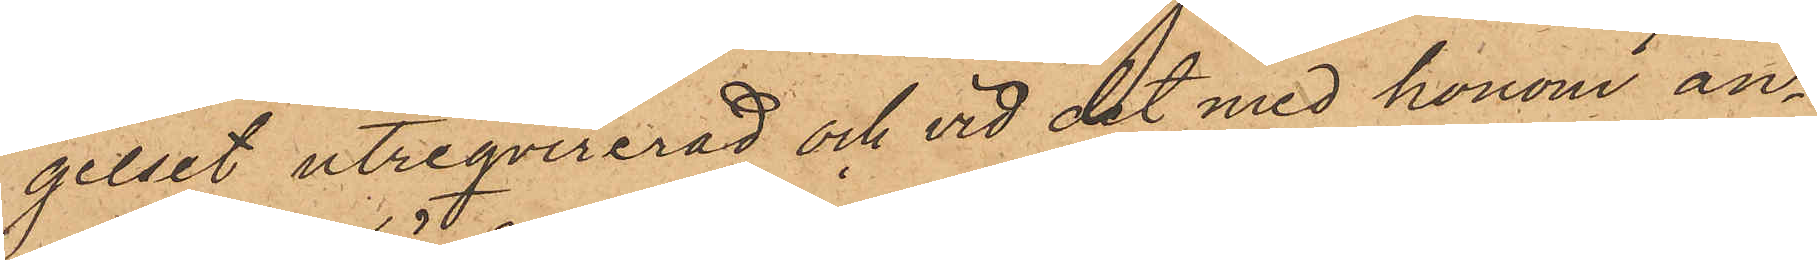gelset utreqvirerad och vid det med honom an¬
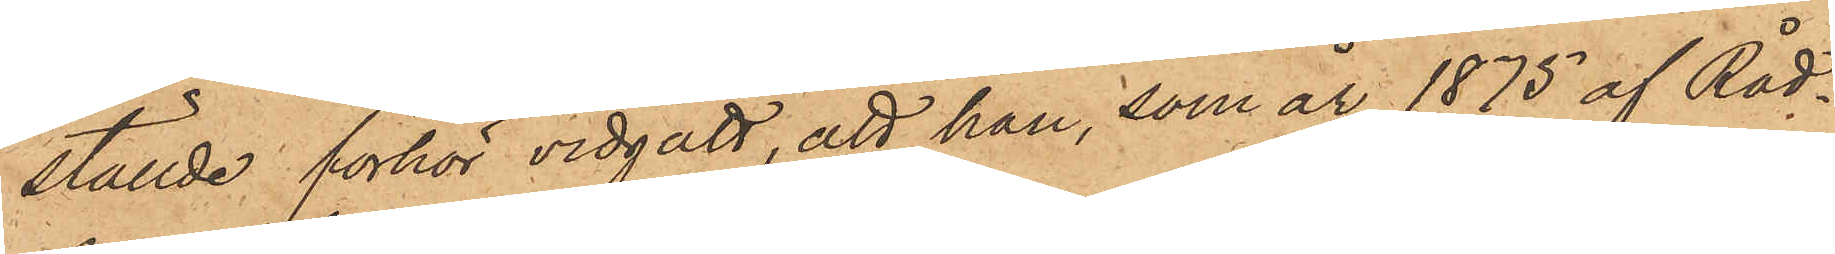ställde förhör vidgått, att han, som år 1875 af Råd¬
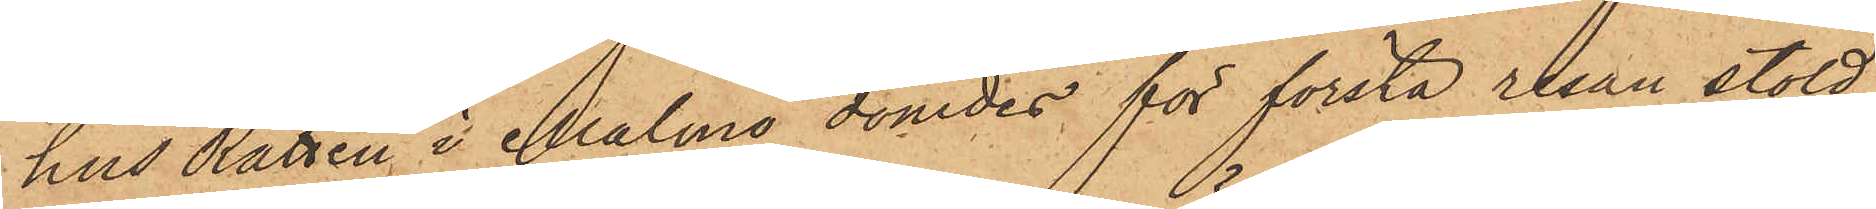hus Rätten i Malmö dömdes för första resan stöld,
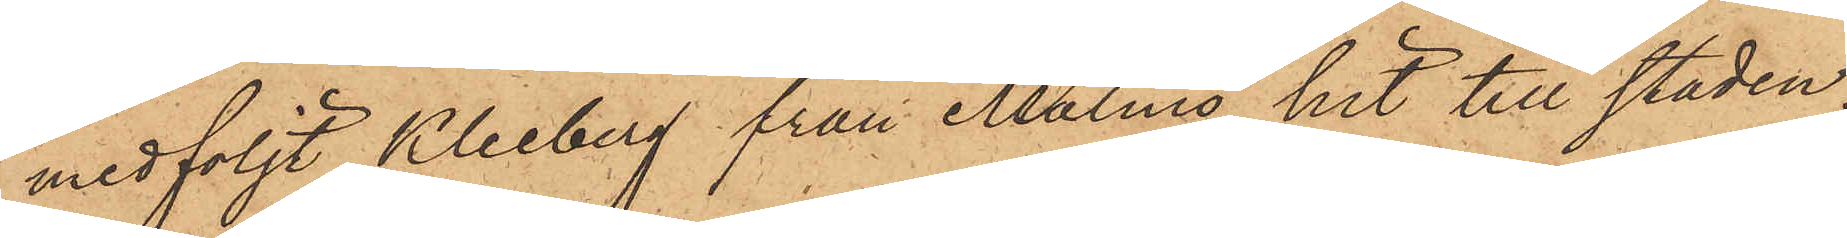medföljt Kleeberg från Malmö hit till staden;
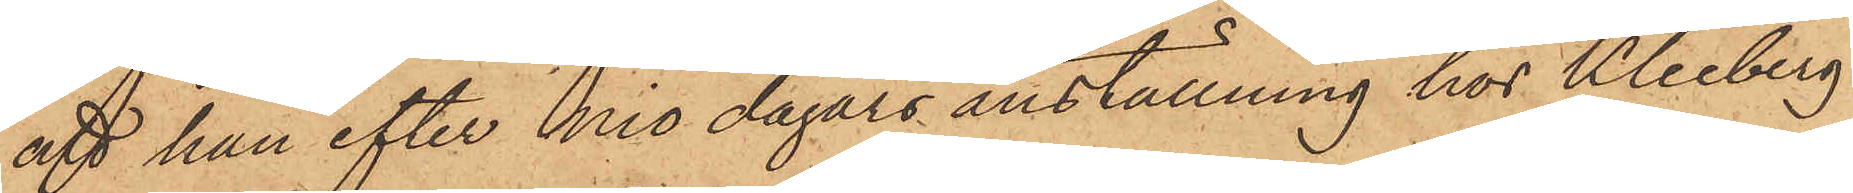att han efter nio dagars anställning hos Kleeberg
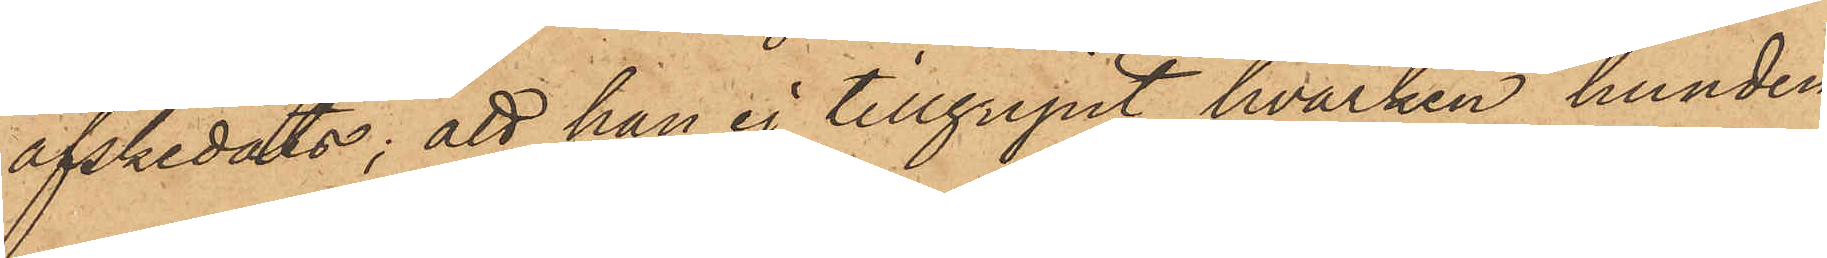afskedats; att han ej tillgripit hvarken hunden
